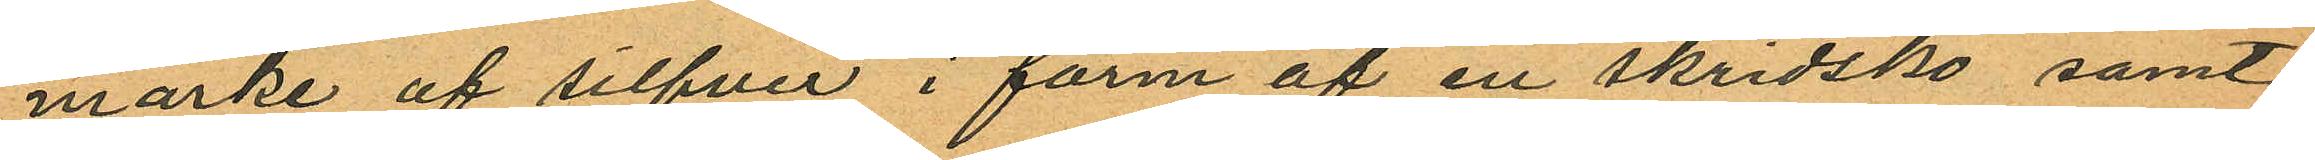märke af silfver i form af en skridsko samt
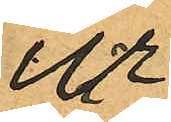ur
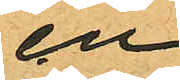en
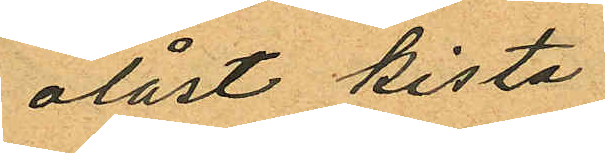olåst kista
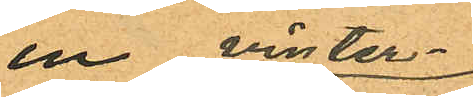en vinter¬
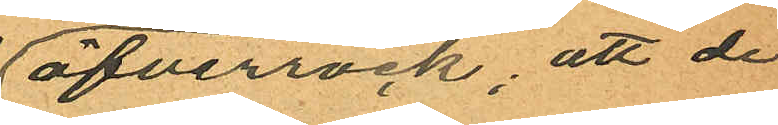öfverrock; att de
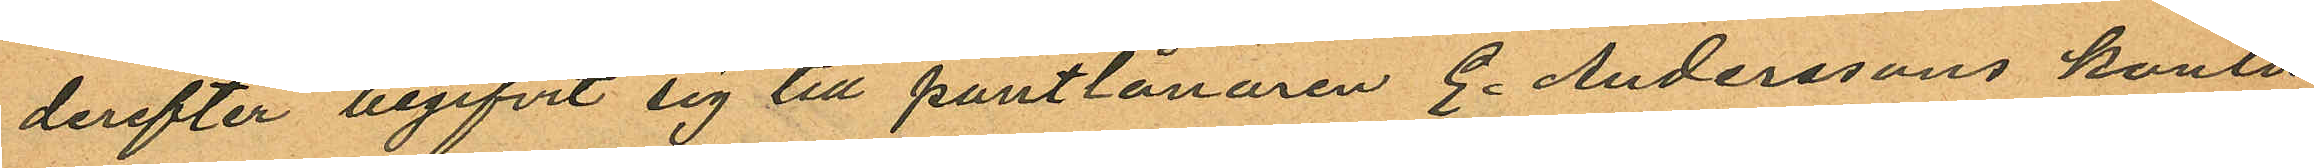derefter begifvit sig till pantlånaren E. Anderssons kontor
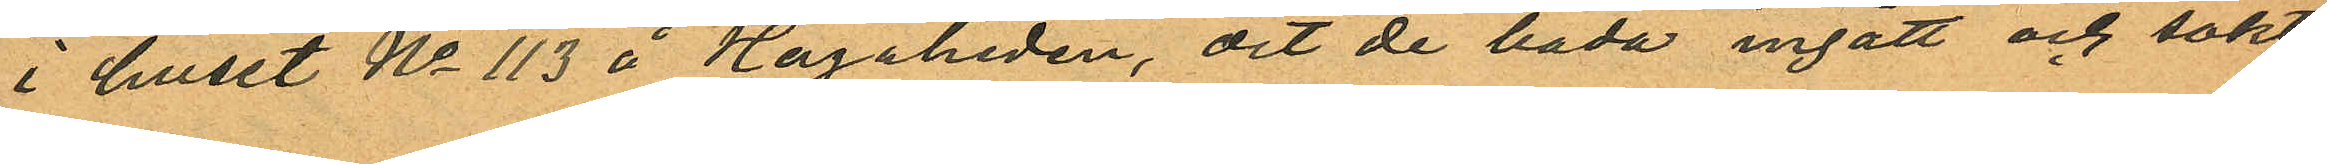i huset No 113 å Hagaheden, dit de båda ingått och sökt
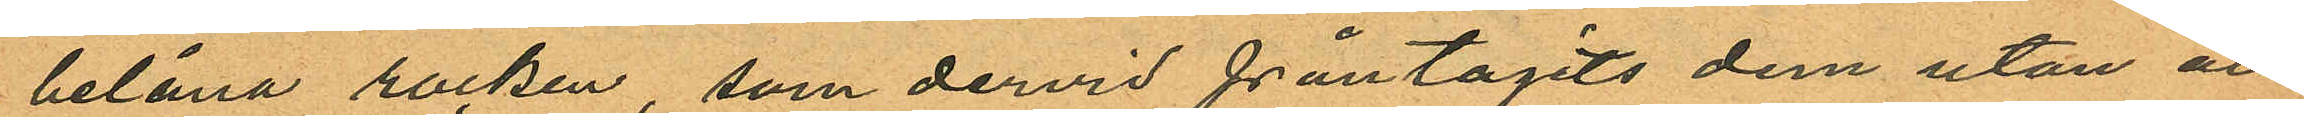belåna rocken, som dervid fråntagits dem utan att
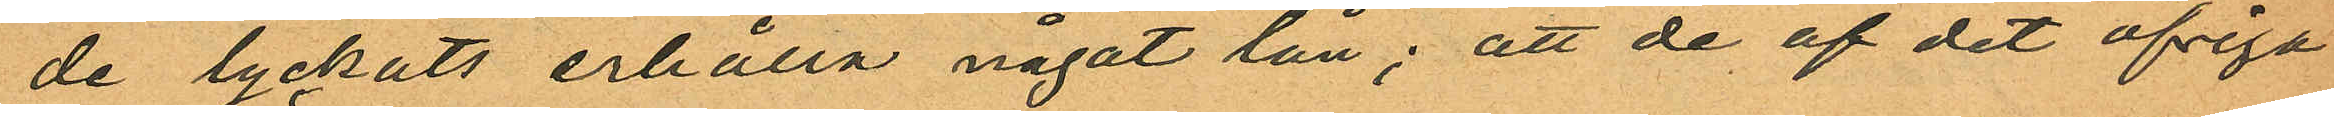de lyckats erhålla något lån; att de af det öfriga
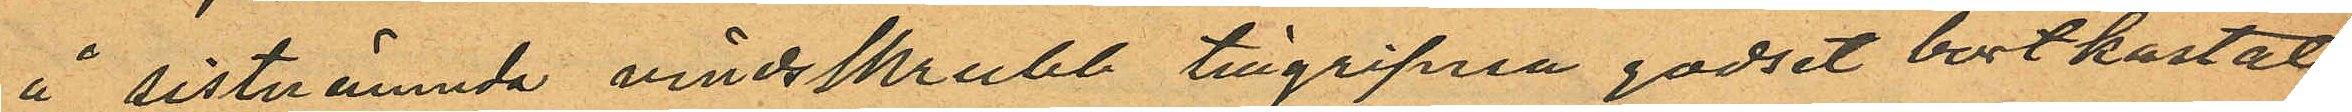å sistnämmnda vindsskrubb tillgripna godset bortkastat
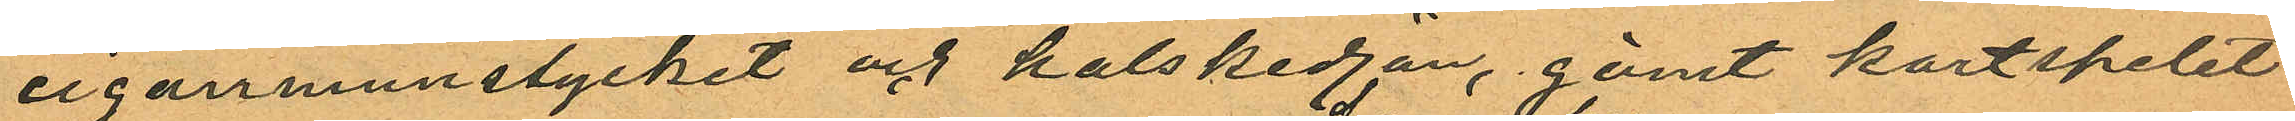cigarrmunstycket och halskedjan, gömt kortspelet
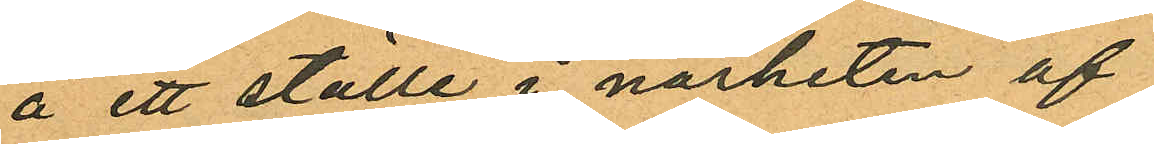å ett ställe i närheten af
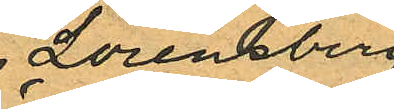Lorensberg
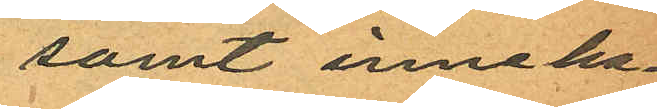samt inneha¬
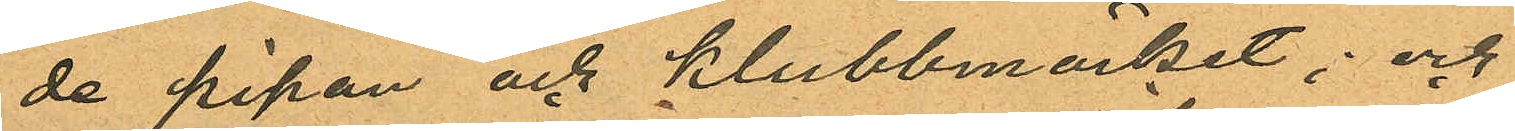de pipan och klubbmärket; och
